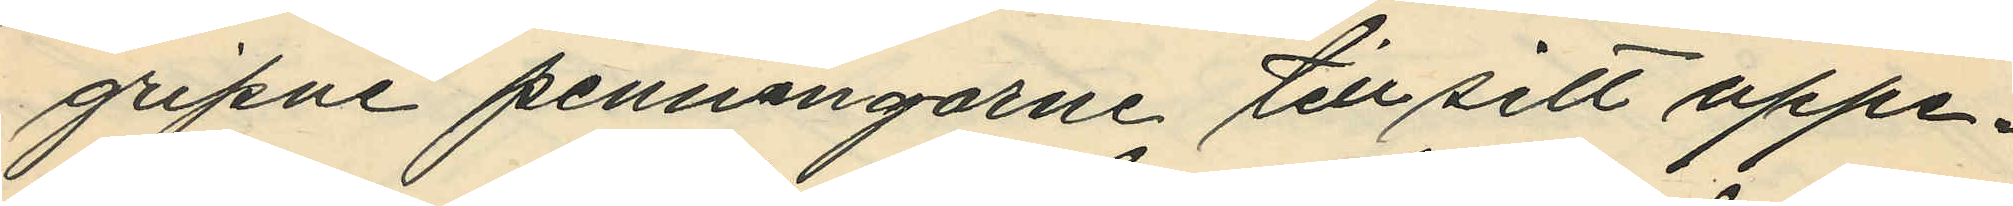gripne penningarne till sitt uppe¬
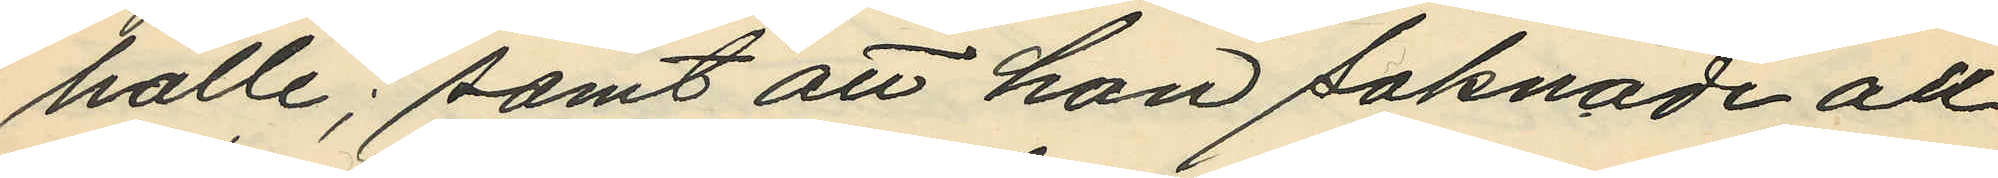hälle; samt att hon saknade all
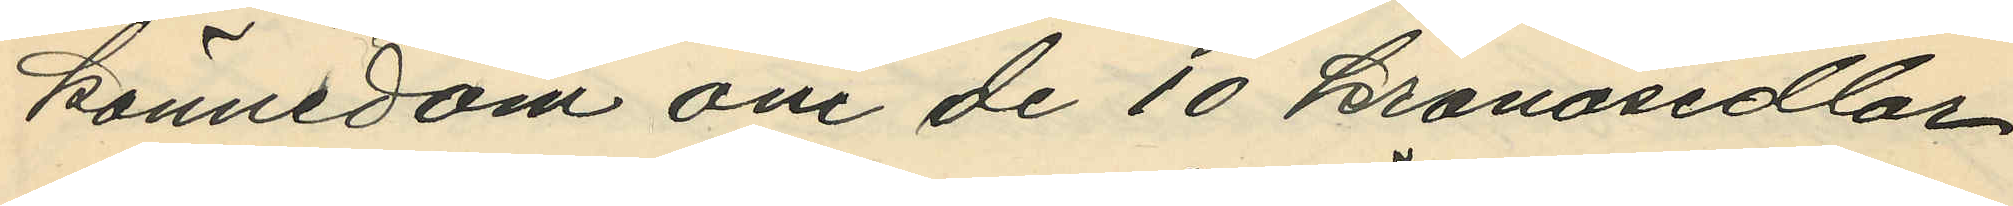kännedom om de 10 kronosedlar
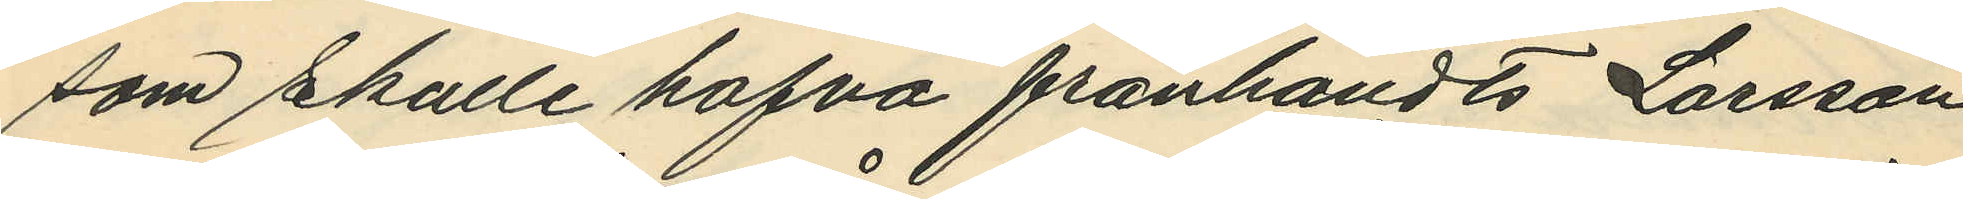som skulle hafva frånhändts Larsson.
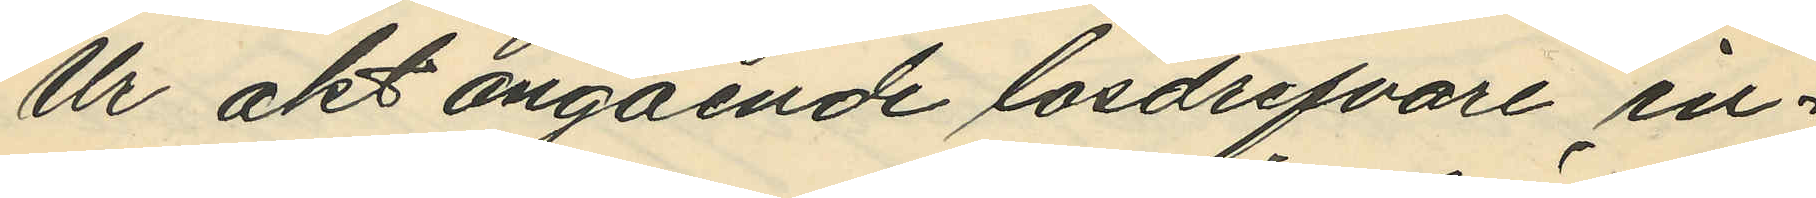Ur akt angående lösdrifvare in¬
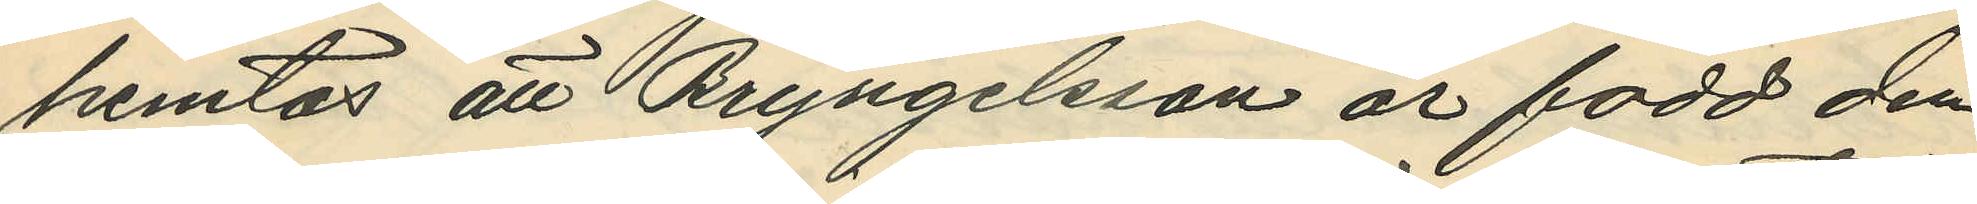hemtas att Bryngelsson är född den
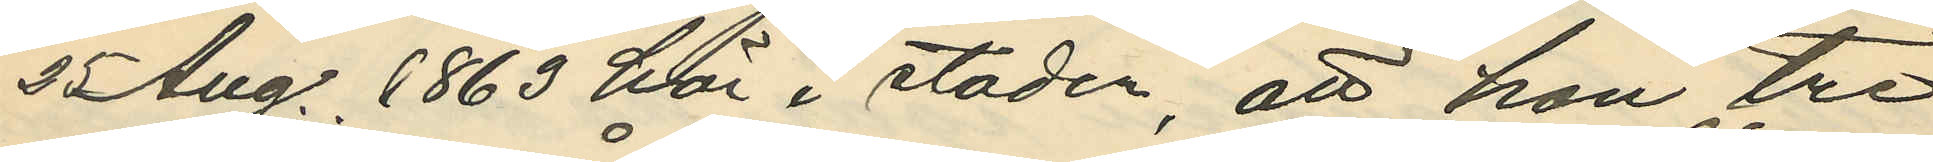25 Aug. 1863 här i staden, att hon tre
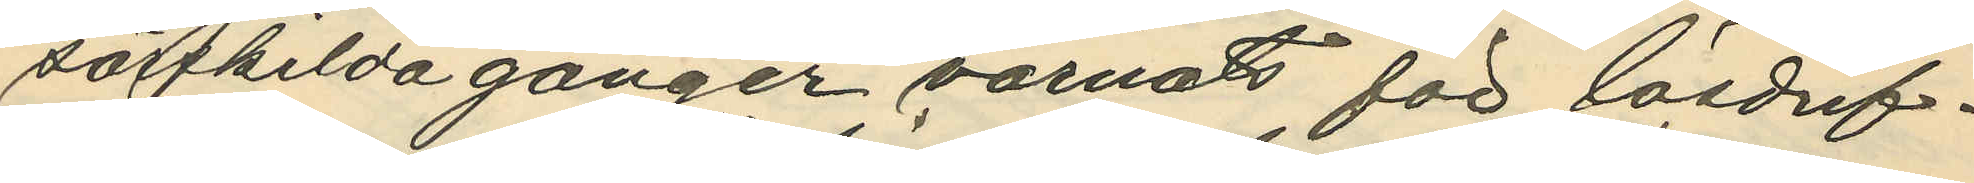särskilda gånger varnats för lösdrif¬
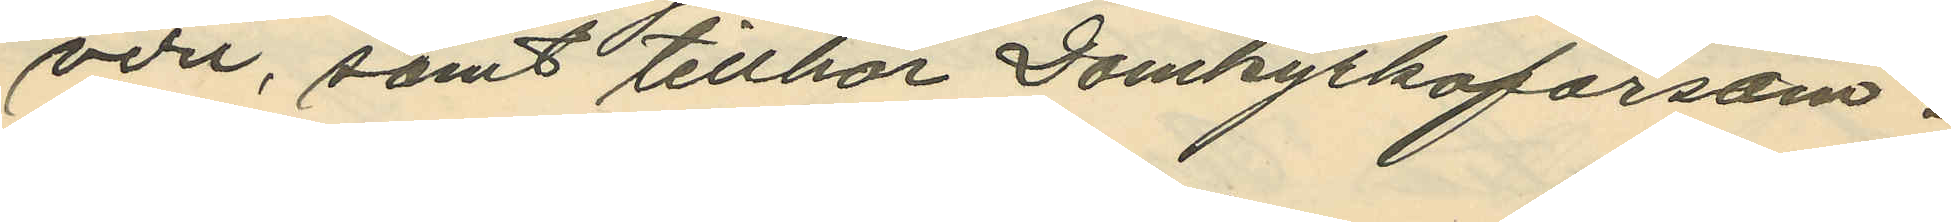veri, samt tillhör Domkyrkoförsam¬
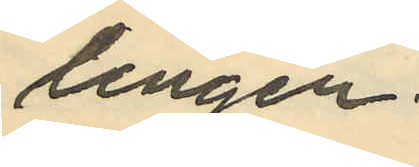lingen.
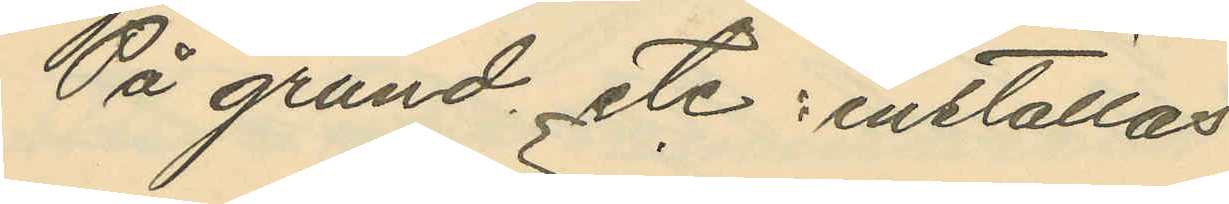På grund etc.; inställas
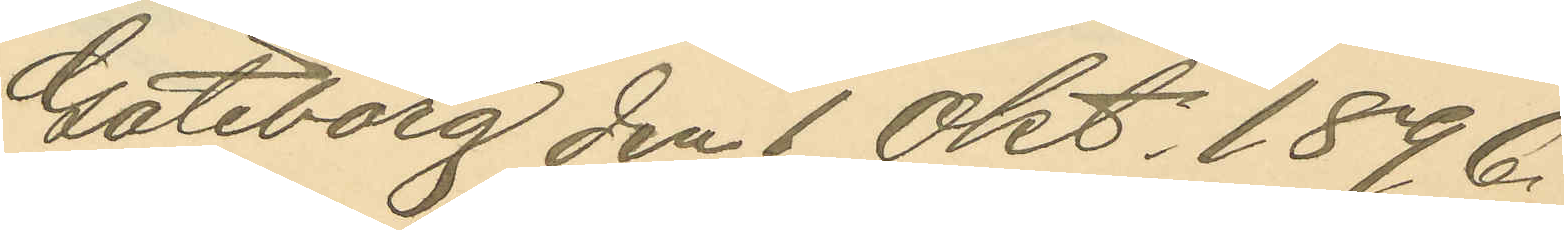Göteborg den 1 Okt. 1896.
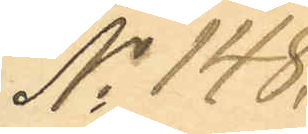No 148,
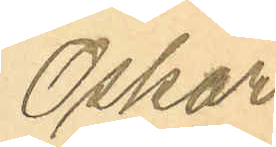Oskar
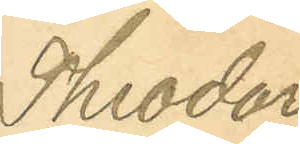Theodor
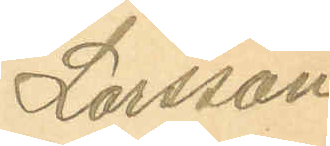Larsson
